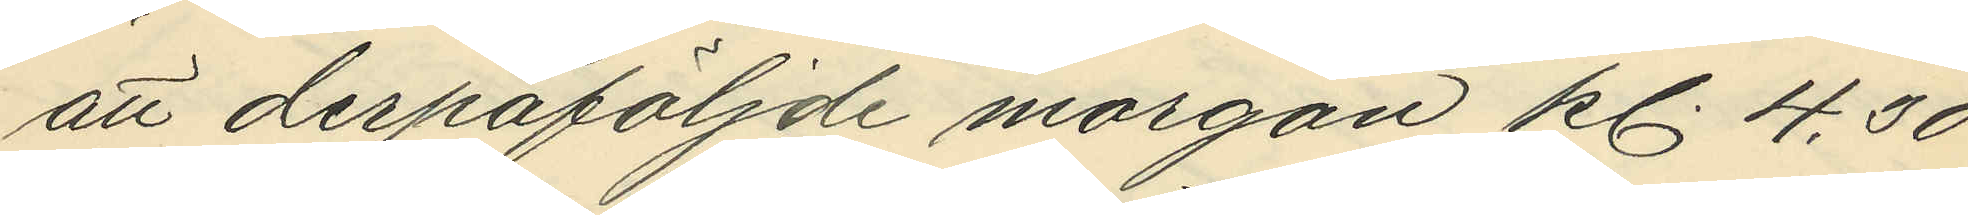att derpåföljande morgon kl. 4,30
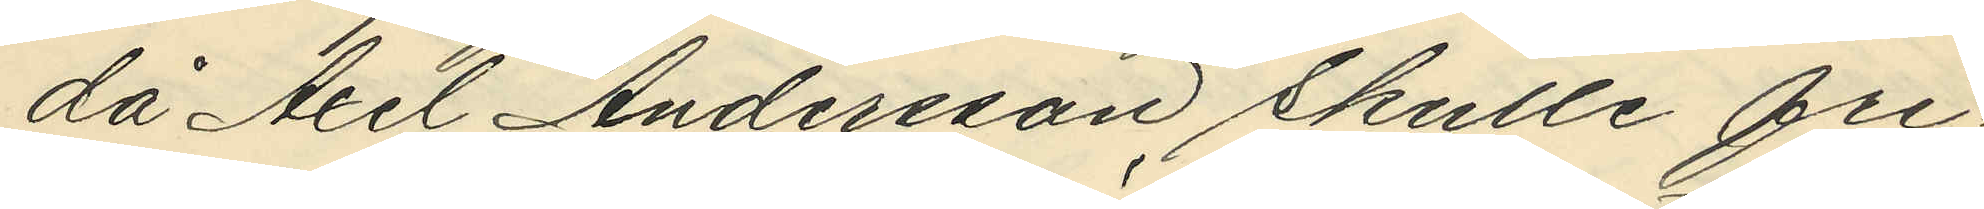då Axel Andersson skulle fri¬
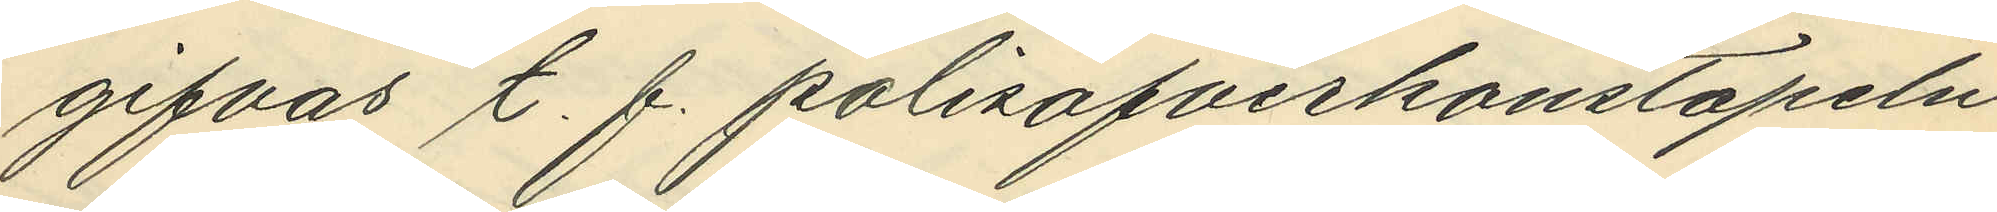gifvas t. f. polisöfverkonstapeln
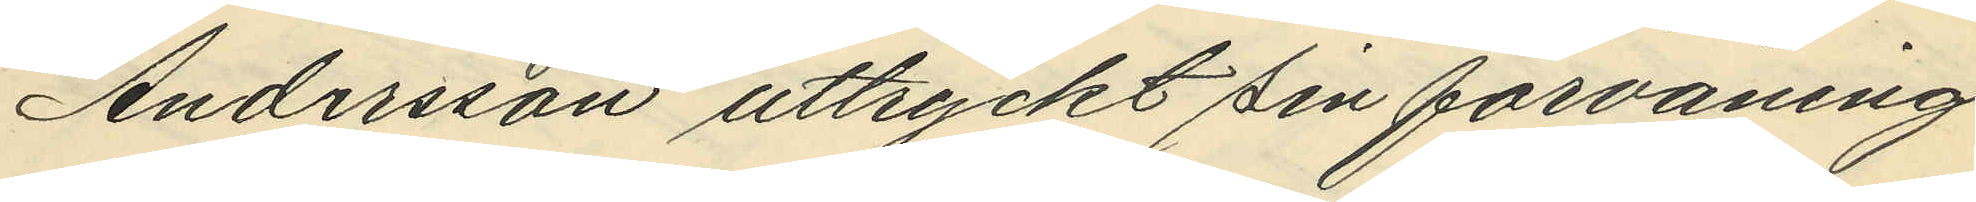Andersson uttryckt sin förvåning
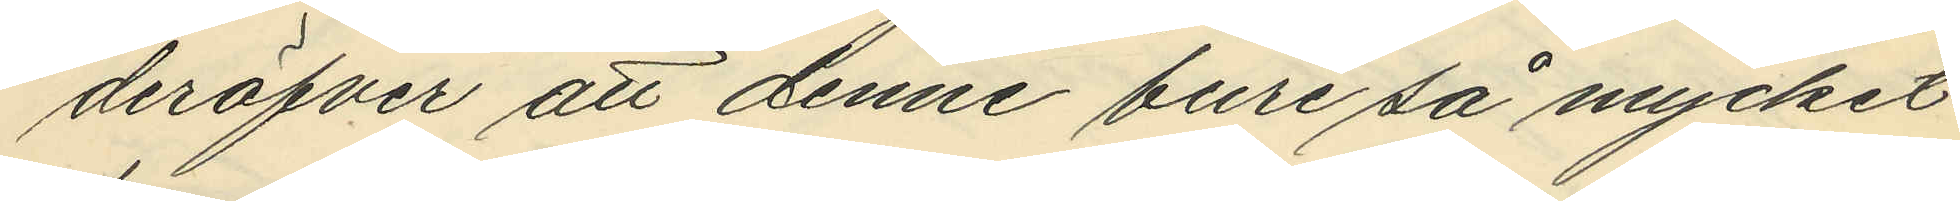deröfver att denne bure så mycket
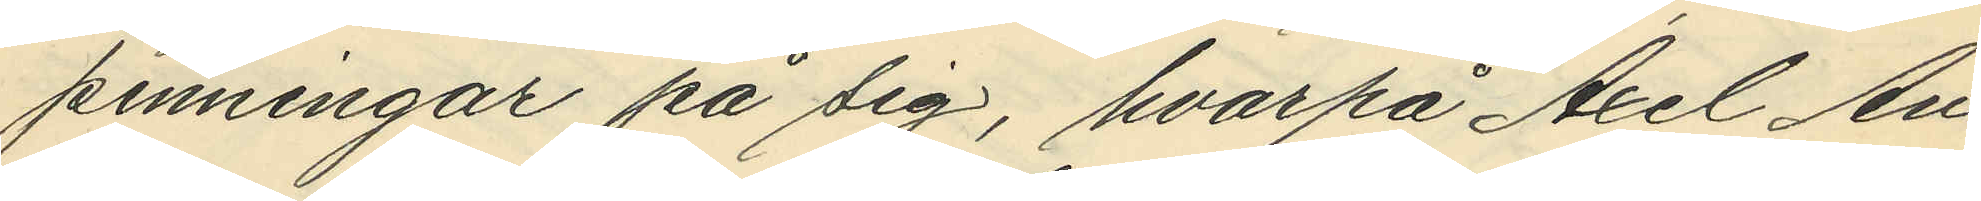penningar på sig, hvarpå Axel An¬
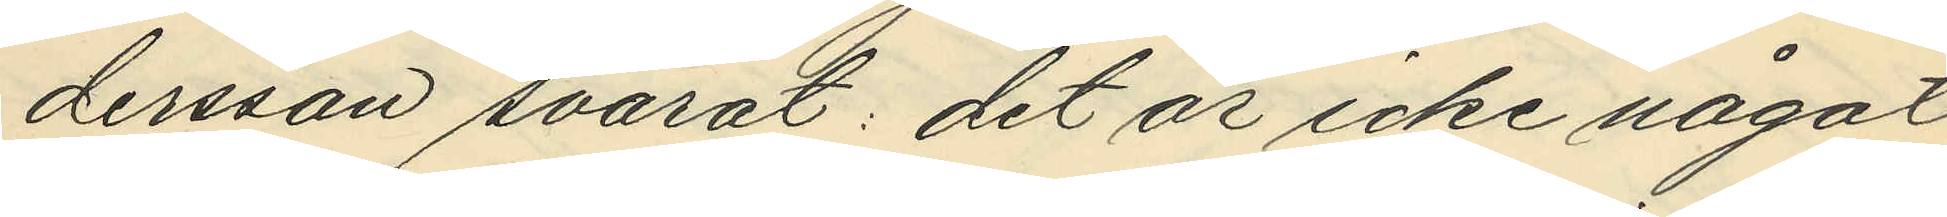dersson svarat: det är icke något
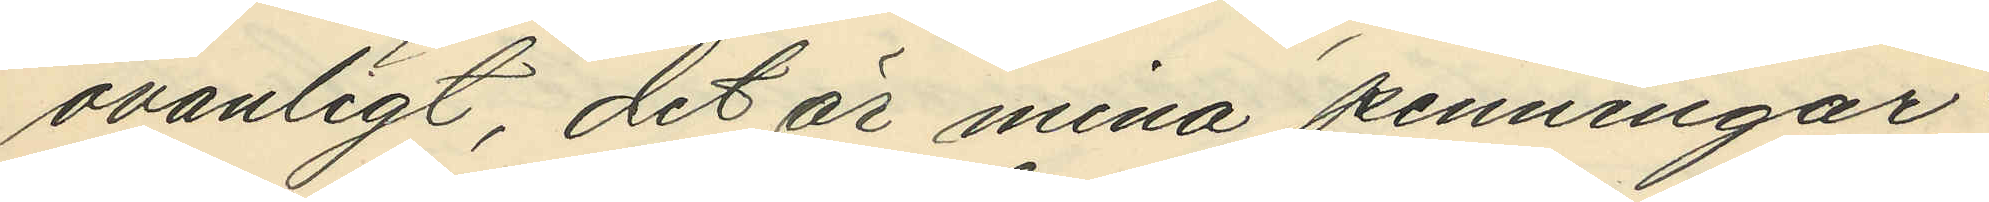ovanligt, det är mina penningar",
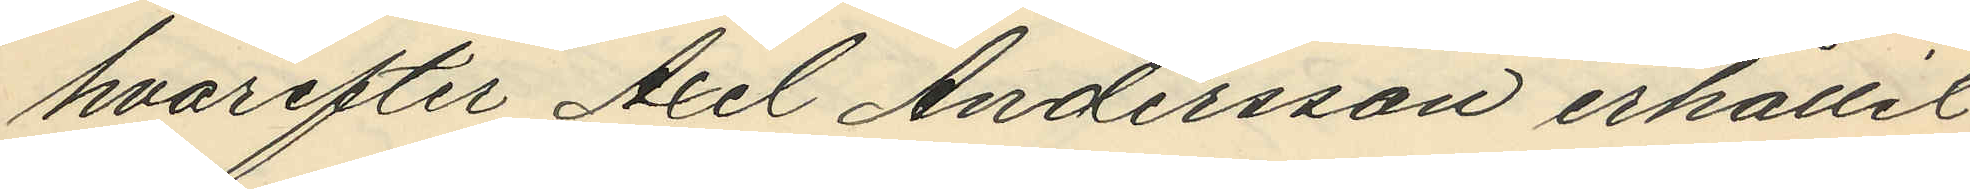hvarefter Axel Andersson erhållit
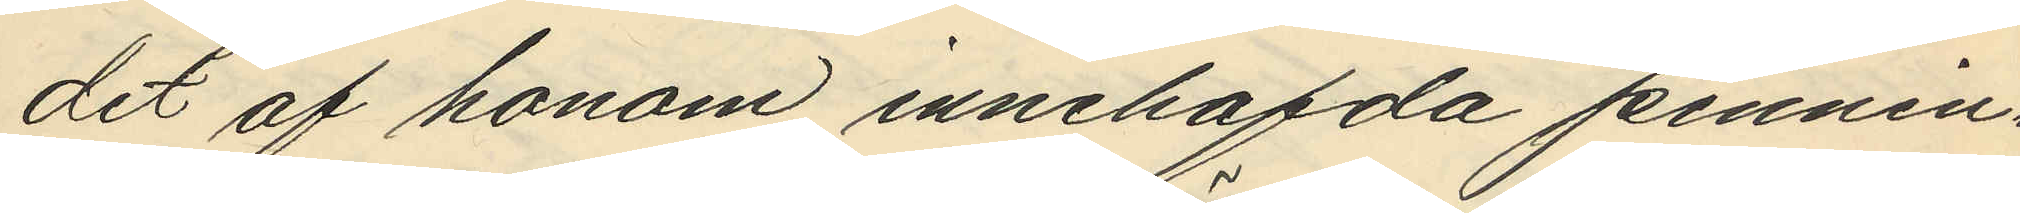det af honom innehafda pennin¬
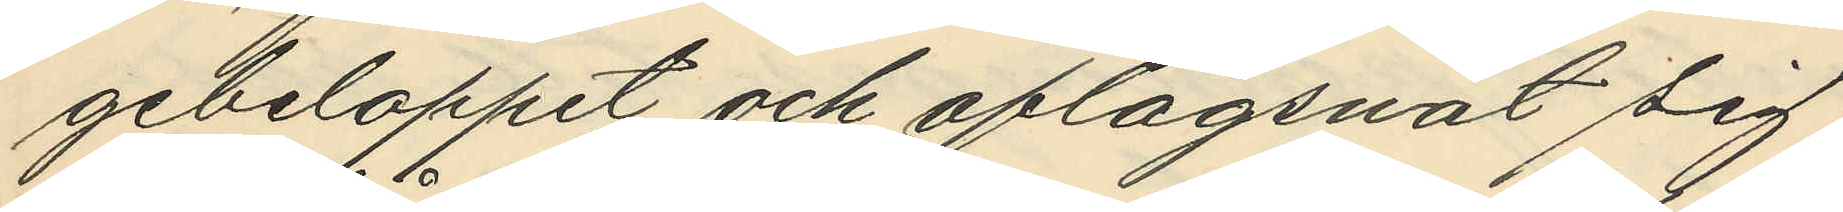gebeloppet och aflägsnat sig;
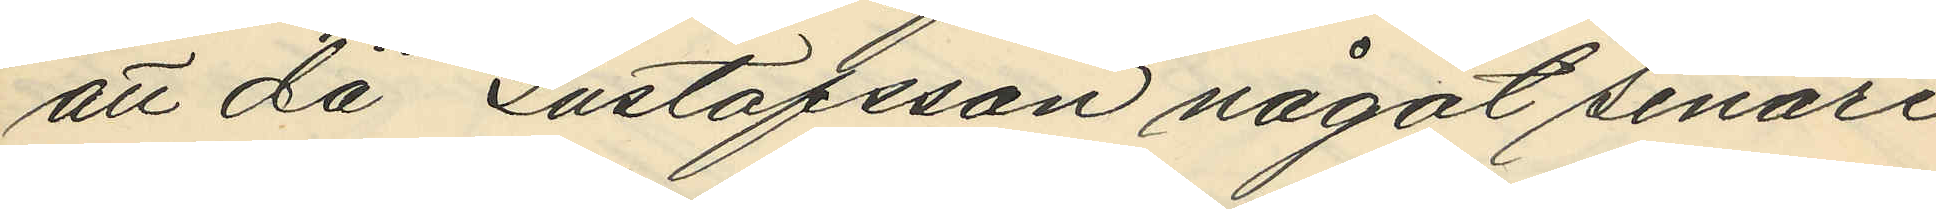att då Gustafsson något senare
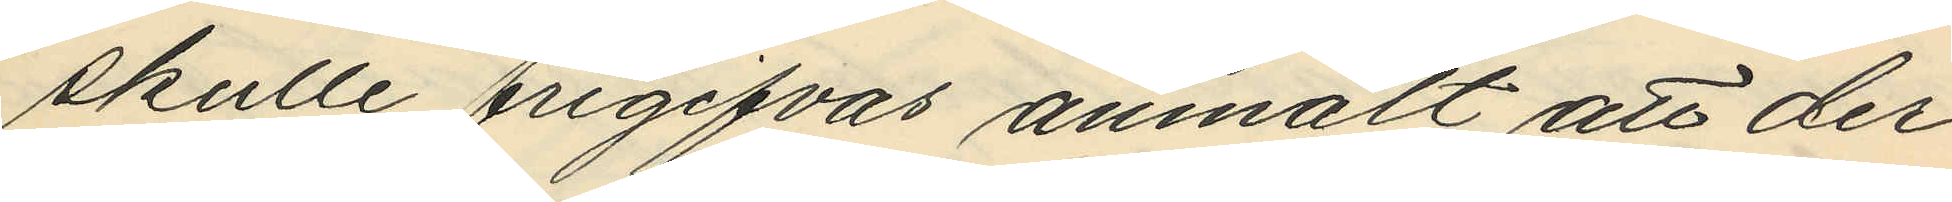skulle frigifvas anmält att der¬
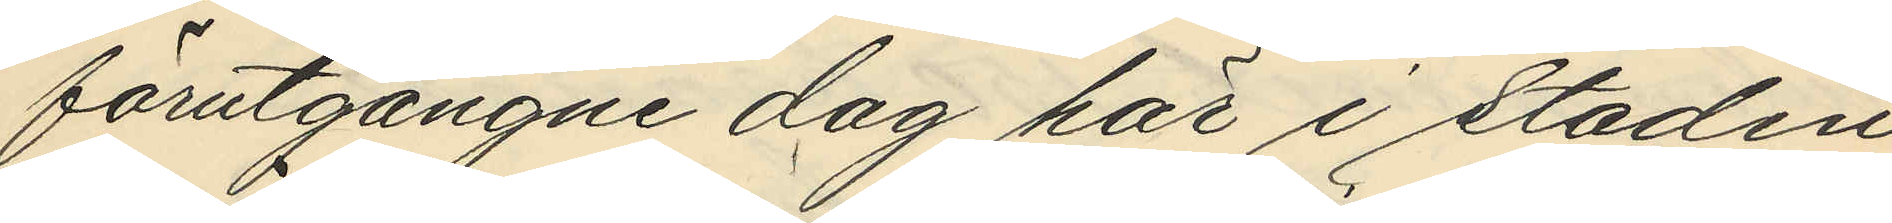förutgångne dag här i staden
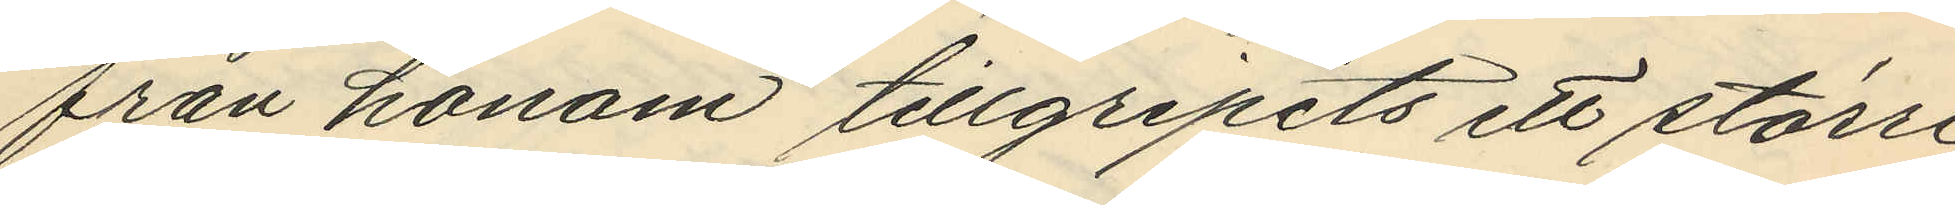från honom tillgripits ett större
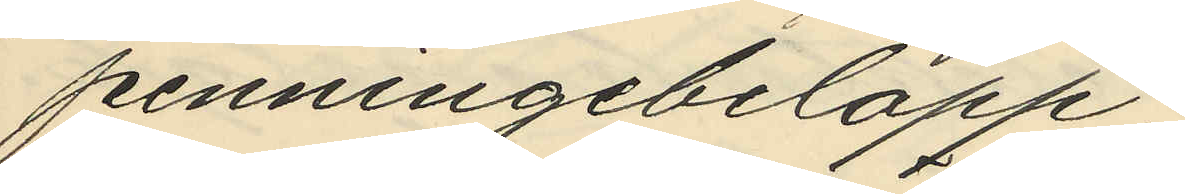penningebelopp;
